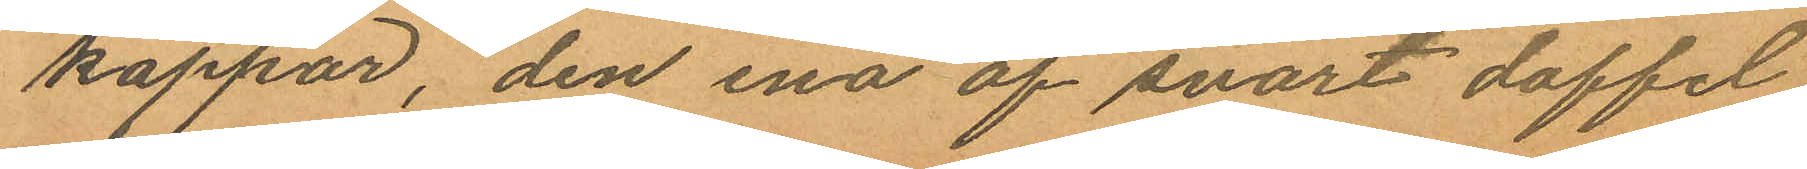kappor, den ena af svart doffel
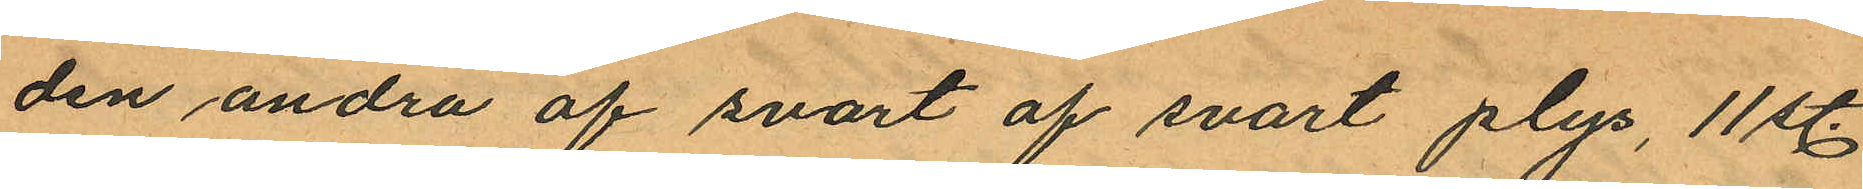den andra af svart af svart plys, 11 st.
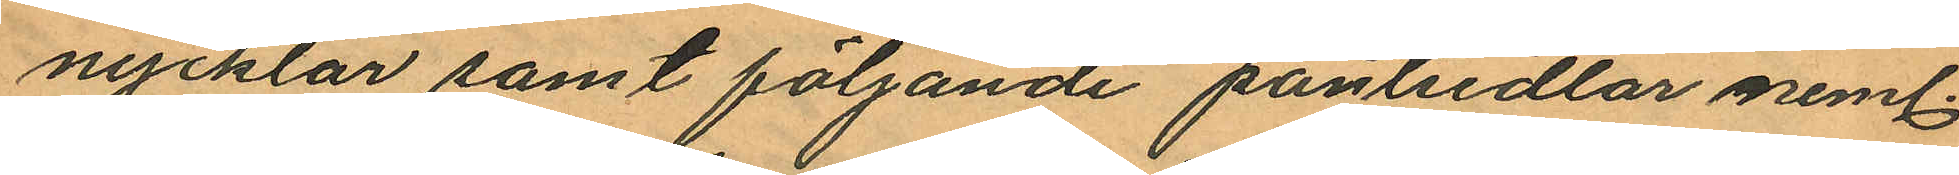nycklar samt följande pantsedlar neml.
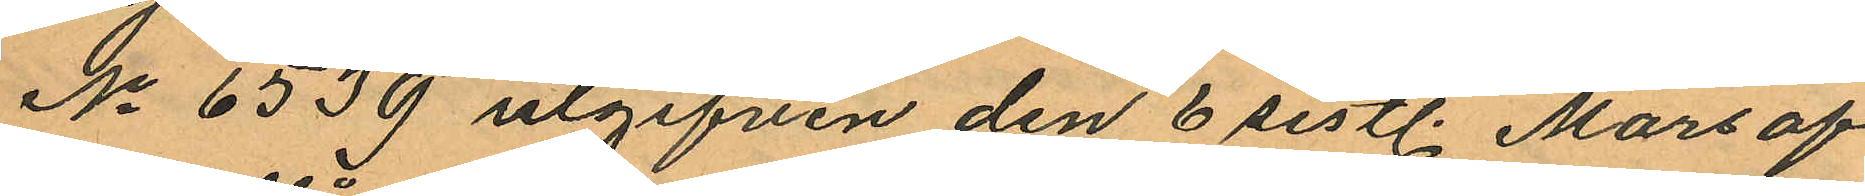No 6539 utgifven den 6 sistl. Mars af
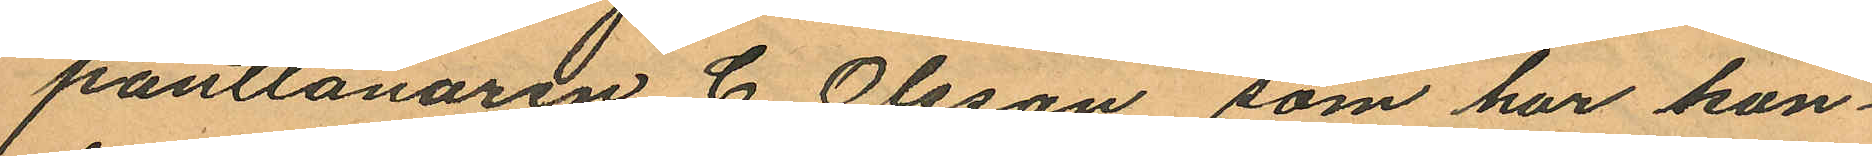pantlånaren C. Olsson, som har kon¬
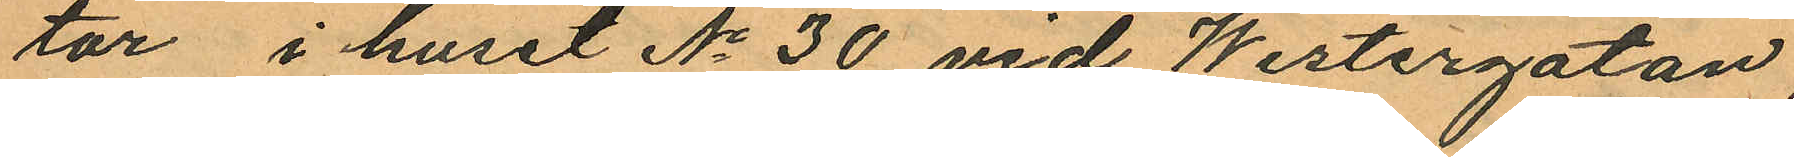tor i huset No 30 vid Westergatan,
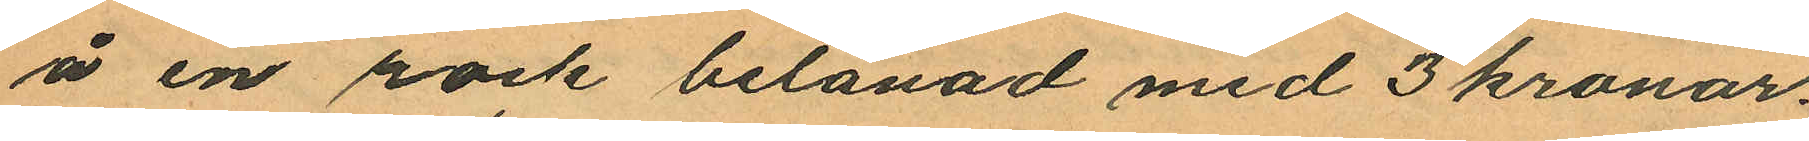å en rock belånad med 3 kronor.
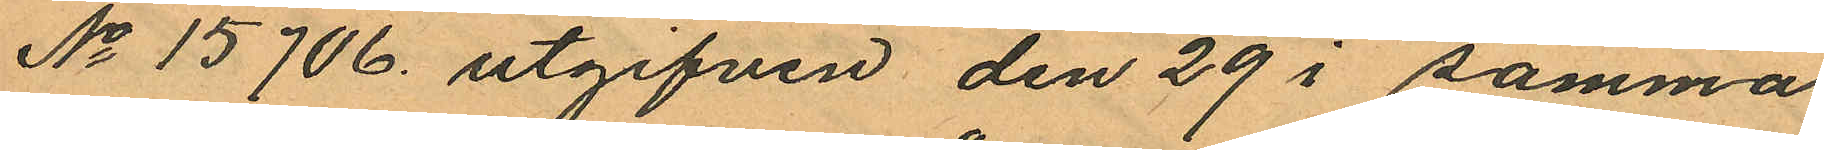No 15706 utgifven den 29 i samma
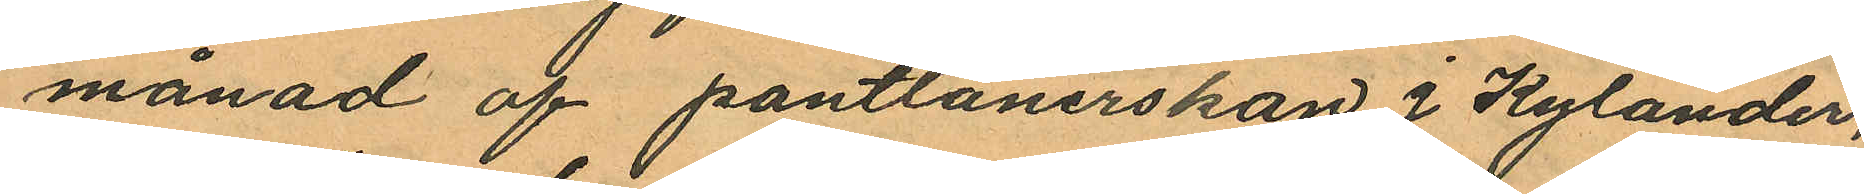månad af pantlånerskan J Kylander,
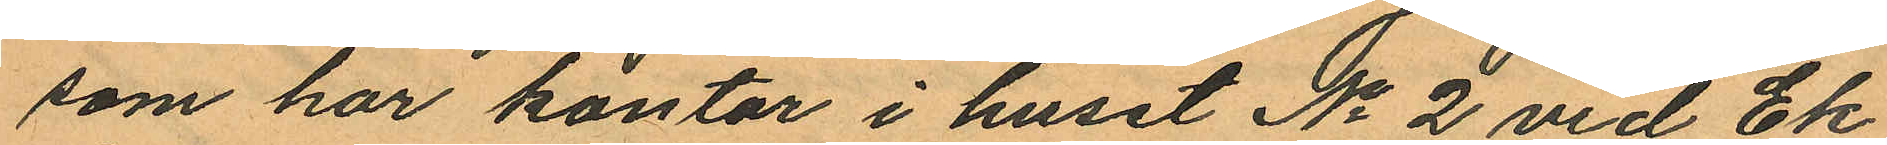som har kontor i huset No 2 vid Ek¬
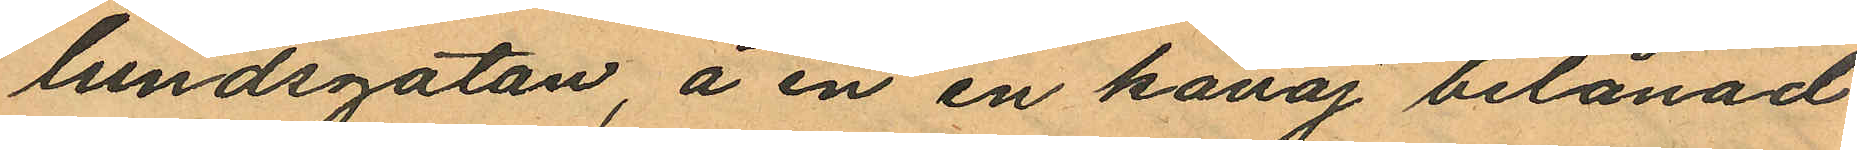lundsgatan, å en en kavaj belånad
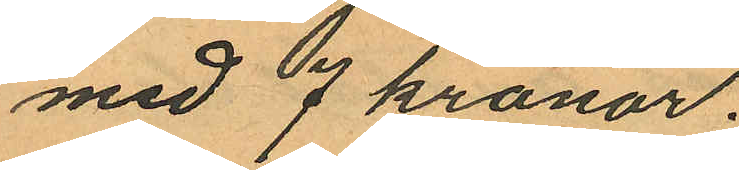med 7 kronor.
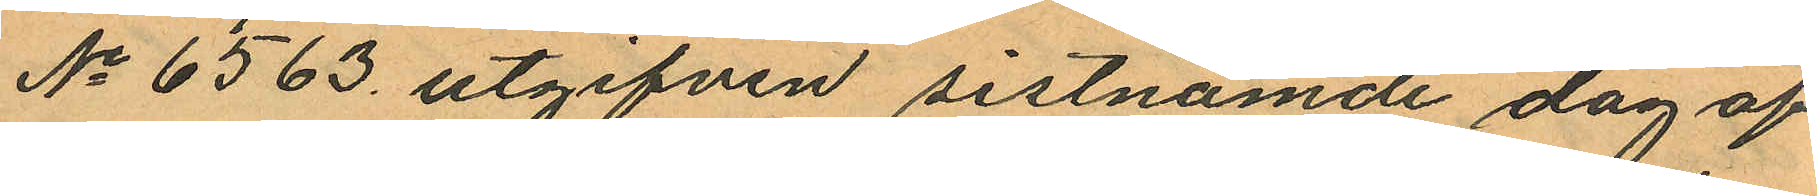No 6563 utgifven sistnämde dag af
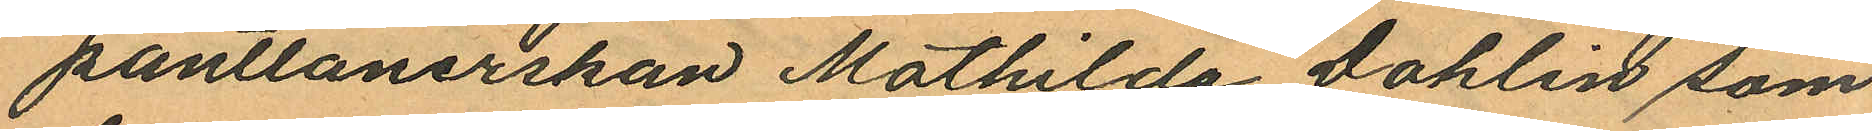pantlånerskan Mathilda Dahlin som
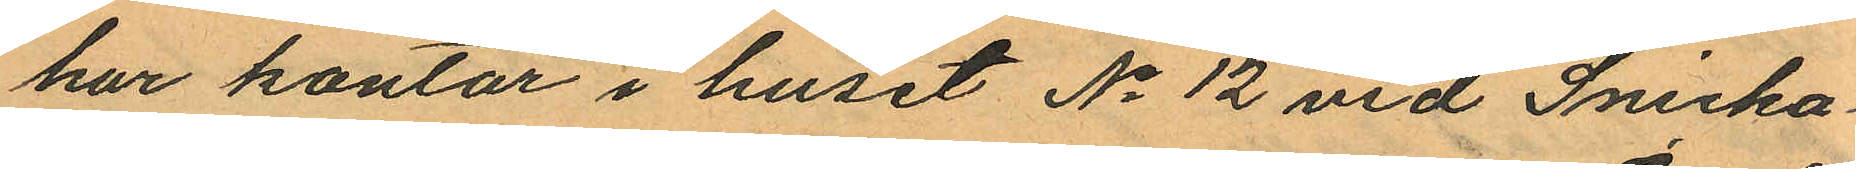har kontor i huset No 12 vid Snicka¬
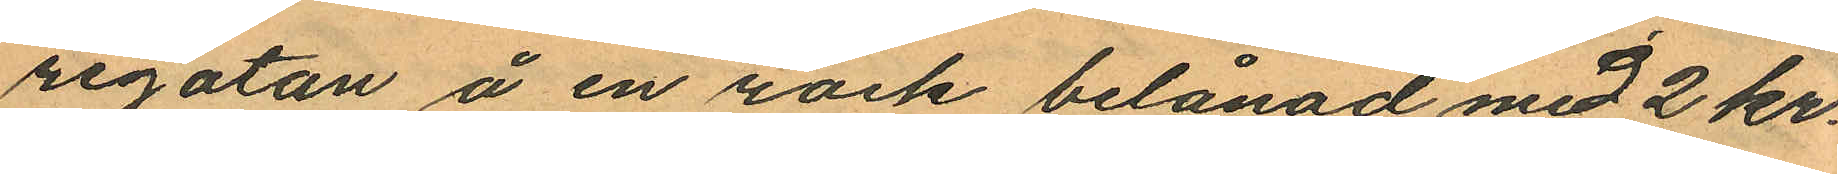regatan å en rock belånad med 2 kr.
